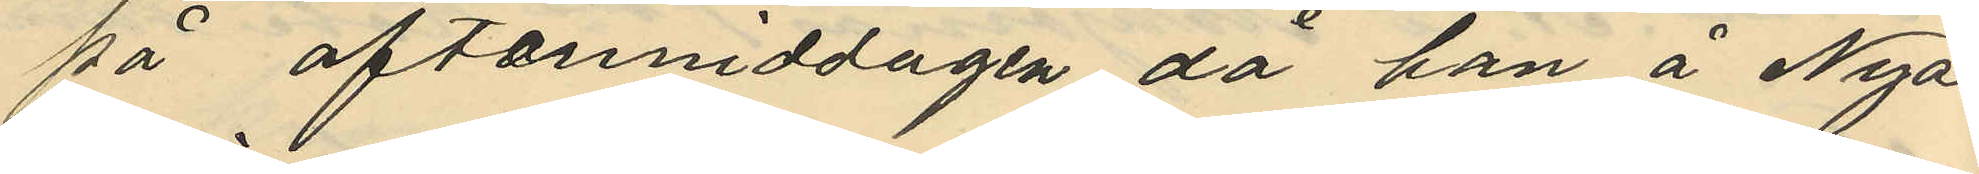på eftemiddagen då han å Nya
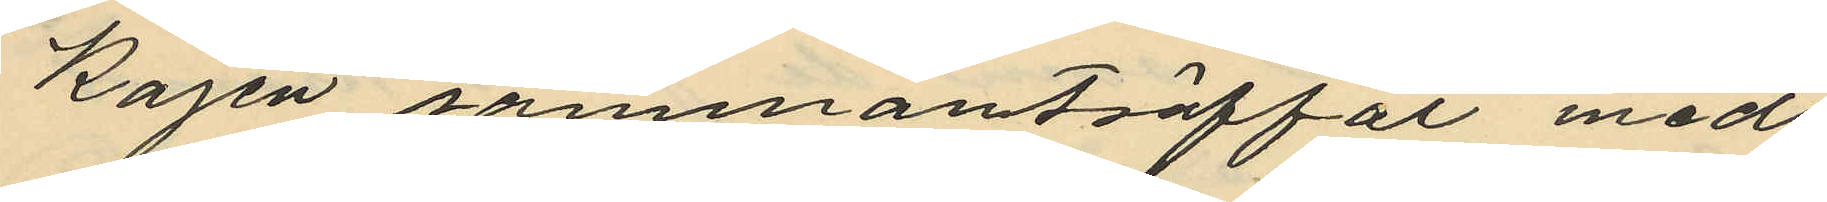Kajen sammanträffat med
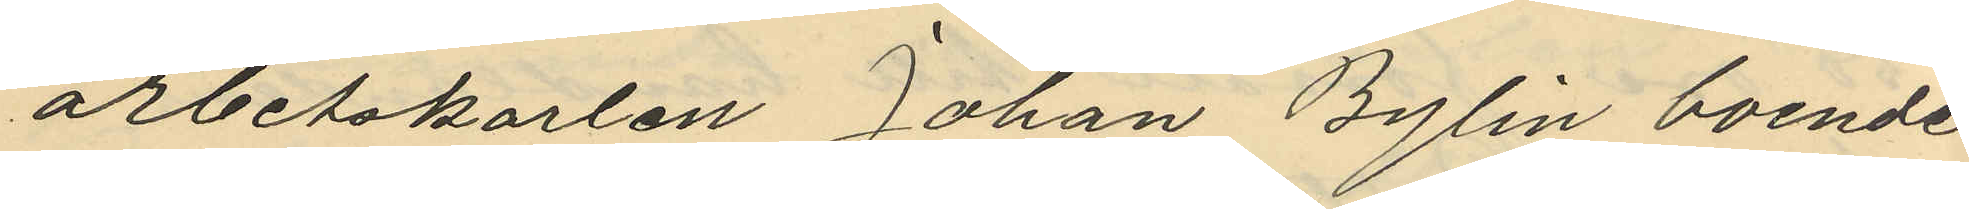arbetskarlen Johan Bylin boende
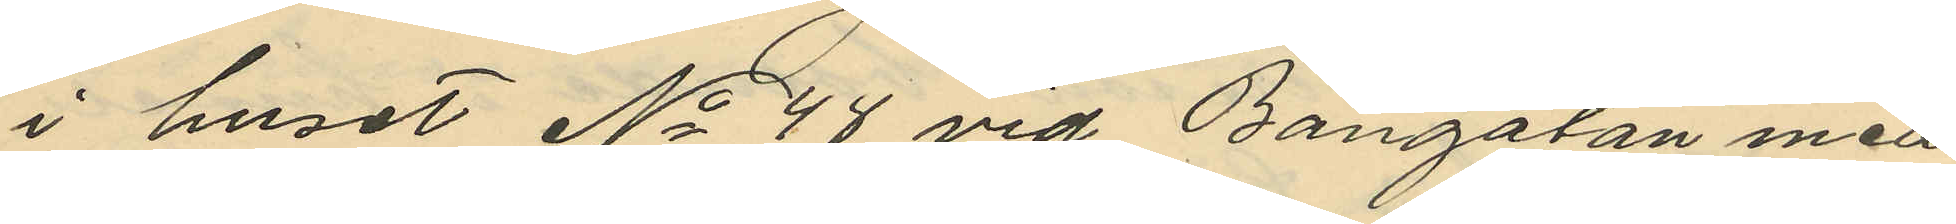i huset No 48 vid Bangatan med
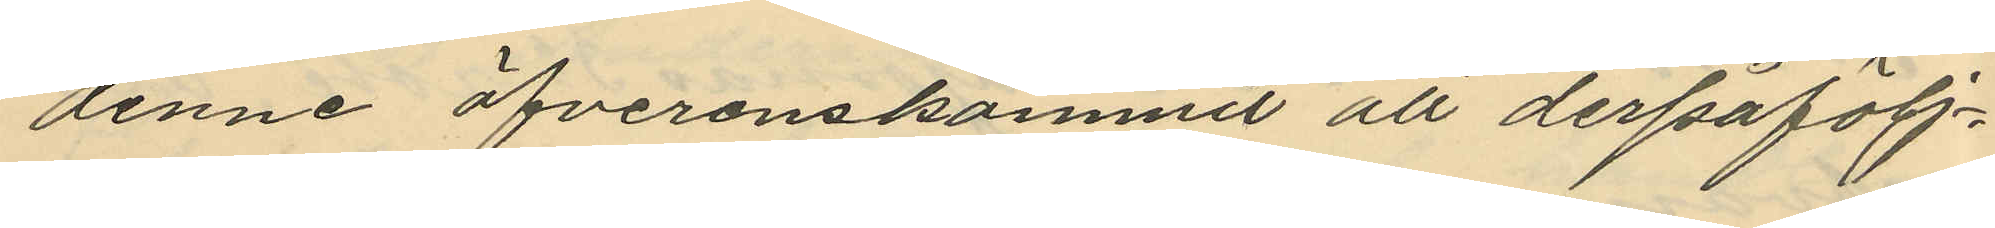denne öfverenskommit att derpåfölj¬
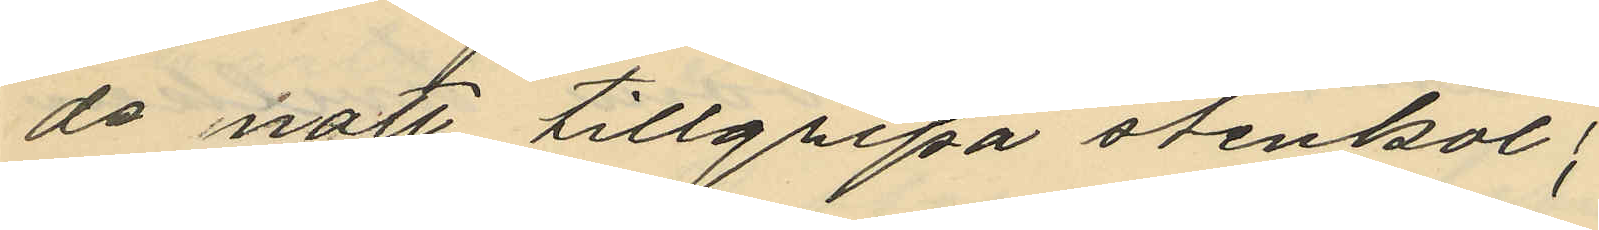de natt tillgripa stenkol;
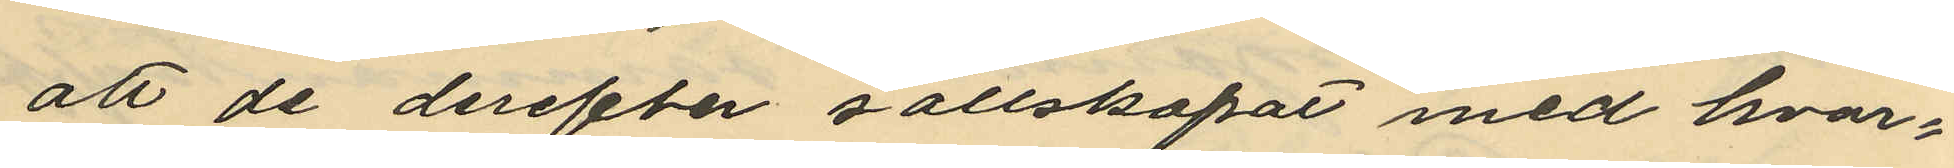att de derefter sällskapat med hvar¬
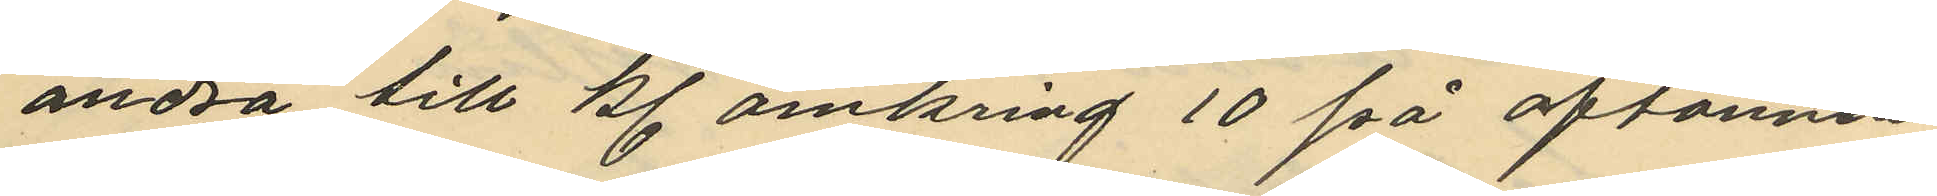andra till kl. omkring 10 på aftonnen
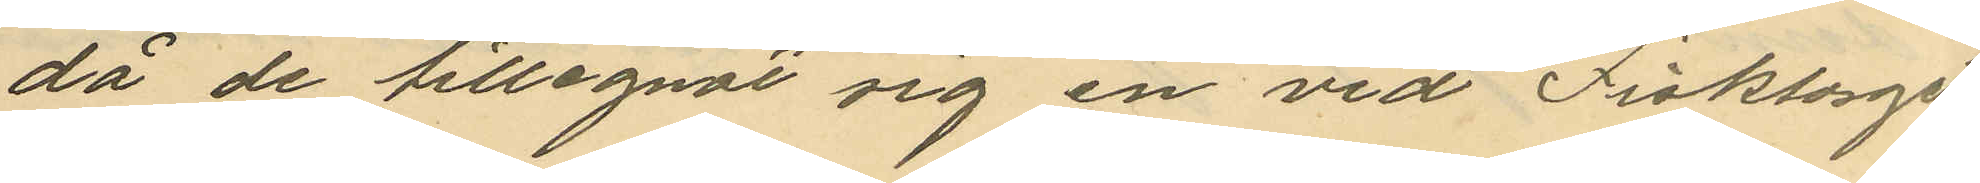då de tillegnat sig en vid Fisktorget
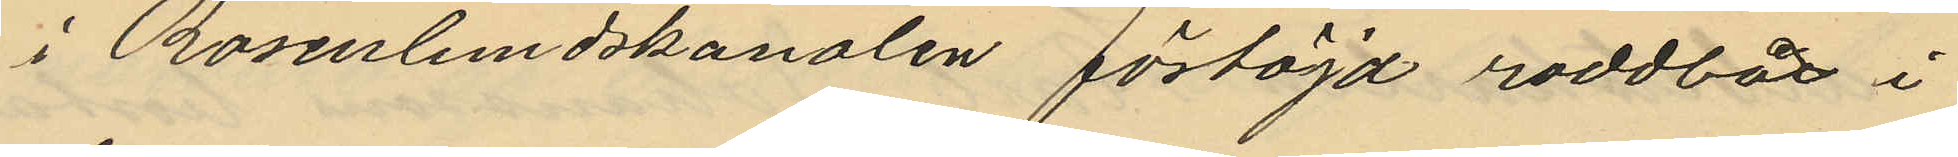i Rosenlundskanalen förtöjd roddbåt i
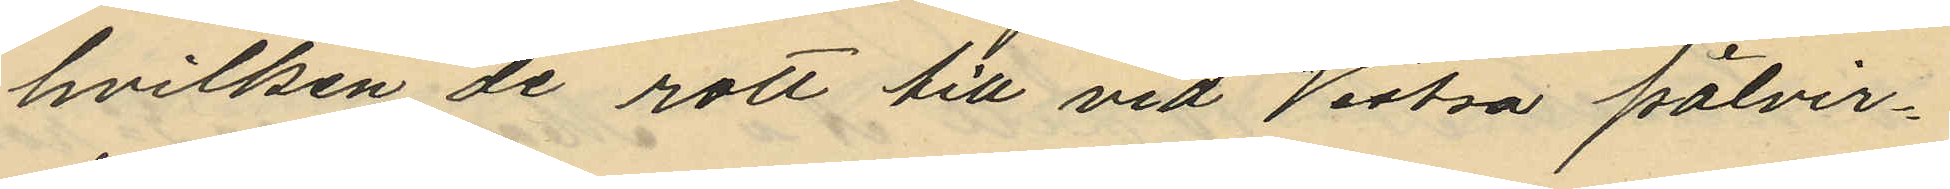hvilken de rott till vid Westra pålvir¬
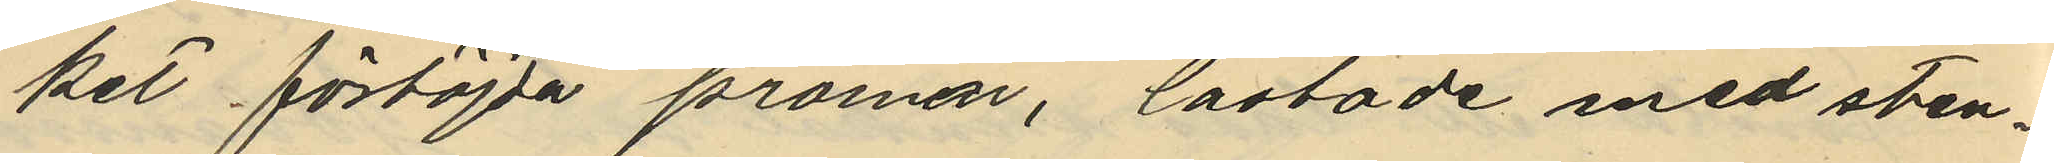ket förtöjda pråmar, lastade med sten¬
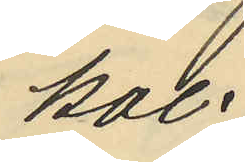kol.
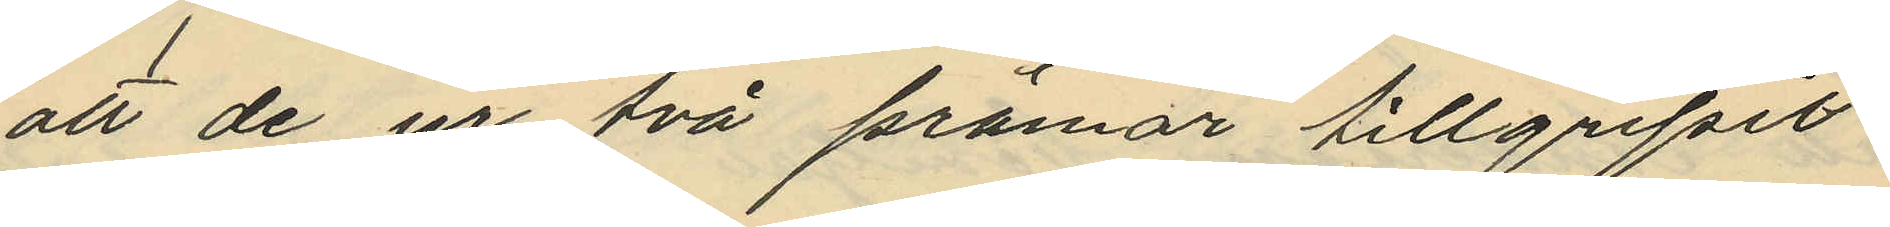att de ur två pråmar tillgripit
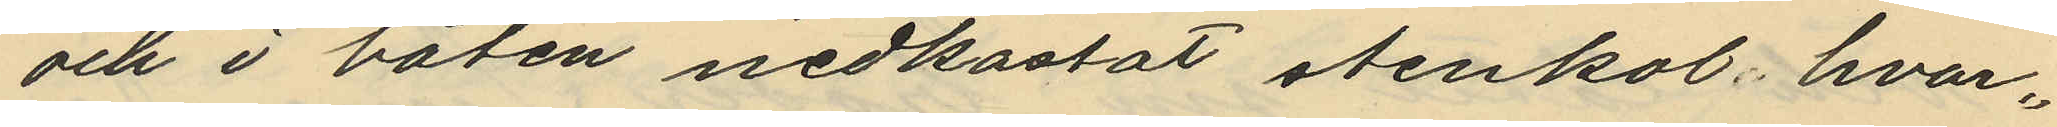och i båten nedkastat stenkol, hvar¬
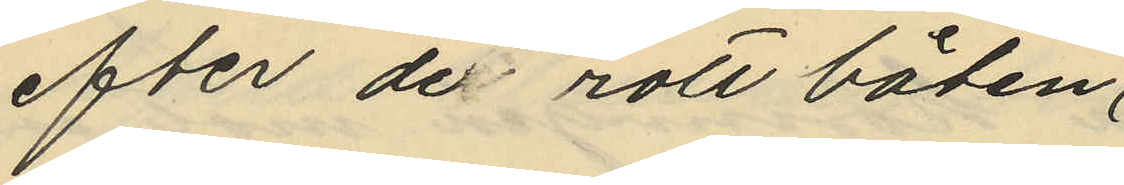efter de rott båten
